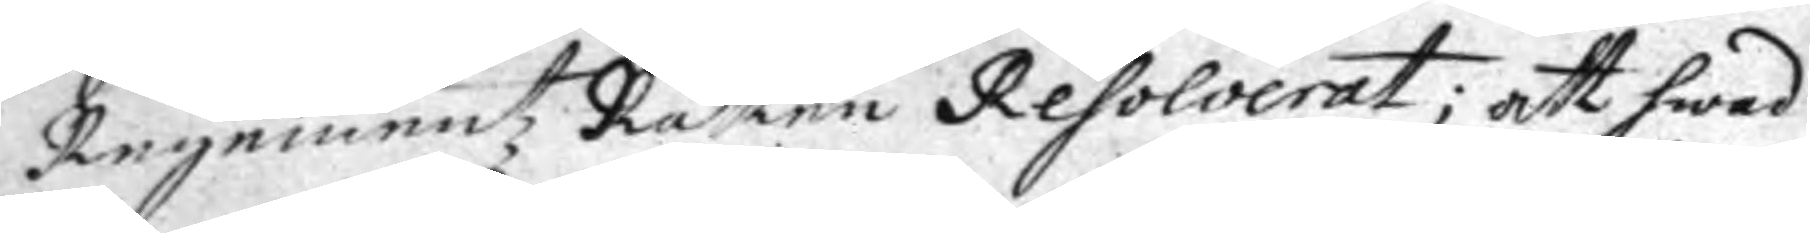Regementz Rätten Resolverat; att hwad
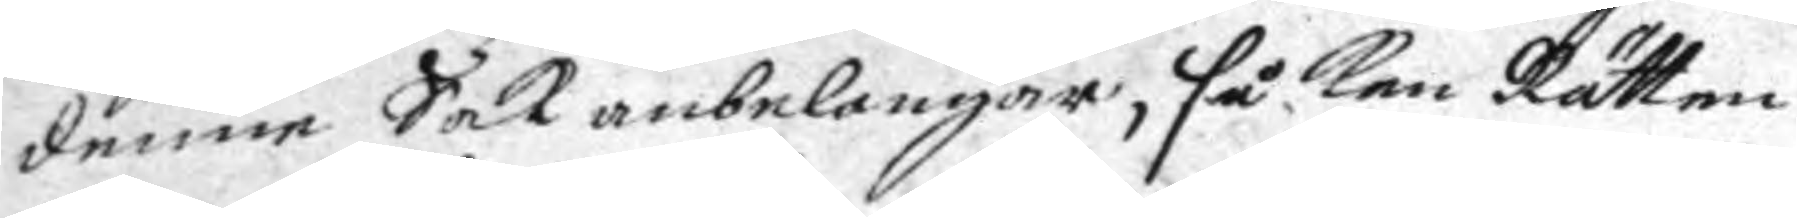denne Sak anbelangar, så kan Rätten
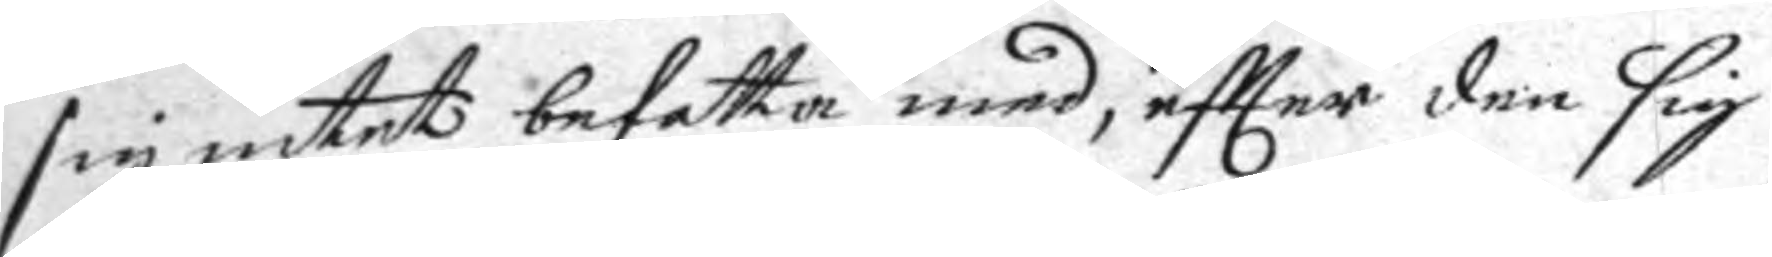sig intet befatta med, eftter den sig
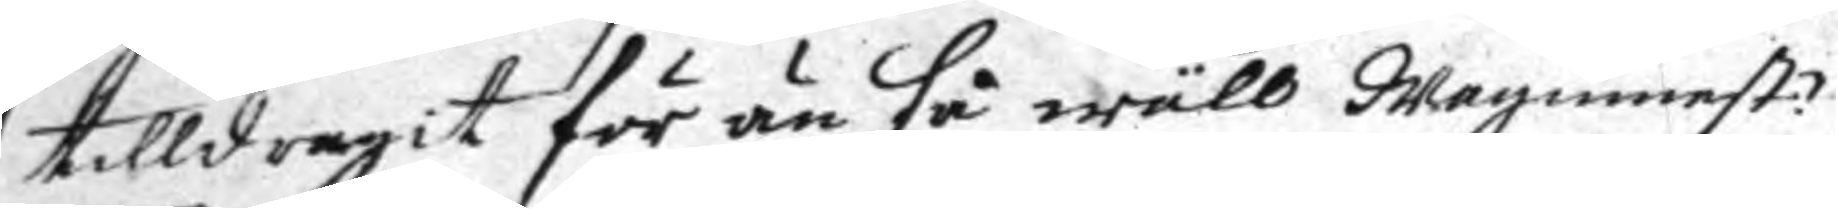tilldragit för än så wäll wagnmest:n
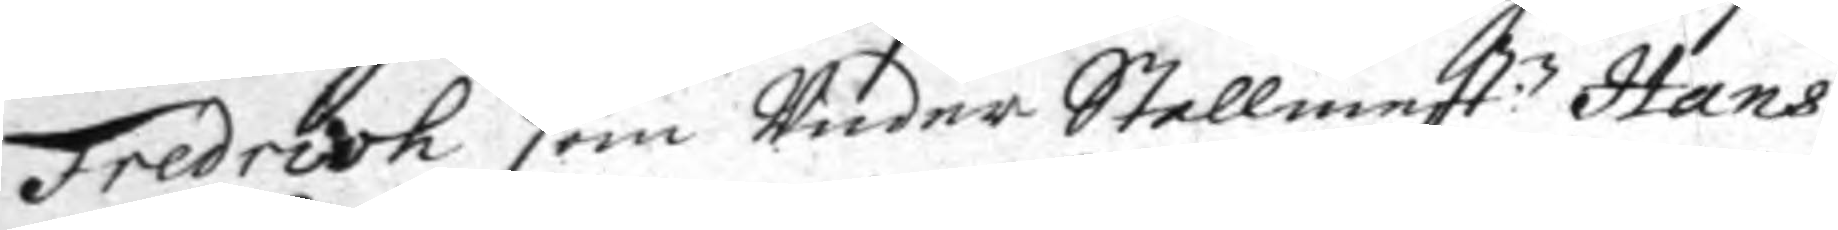Fredrich som Under Stallmest:n Hans
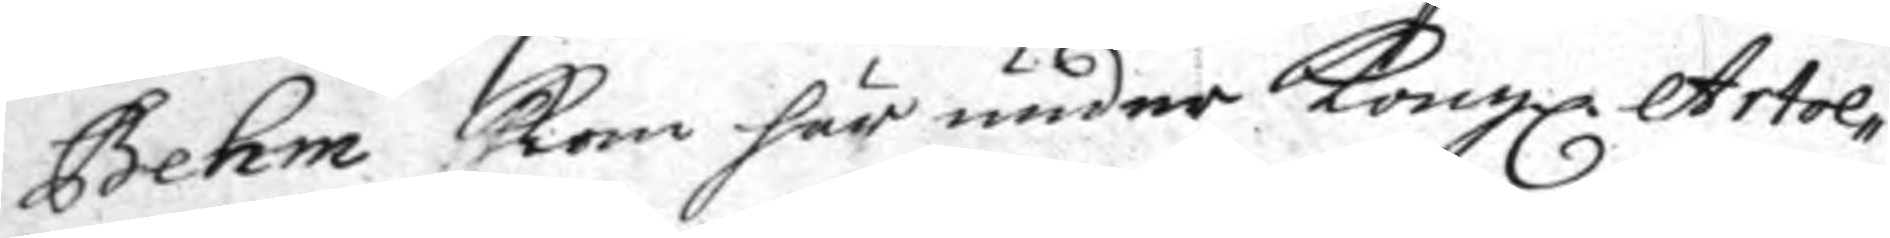Behm kom här under Kongl. Artol¬
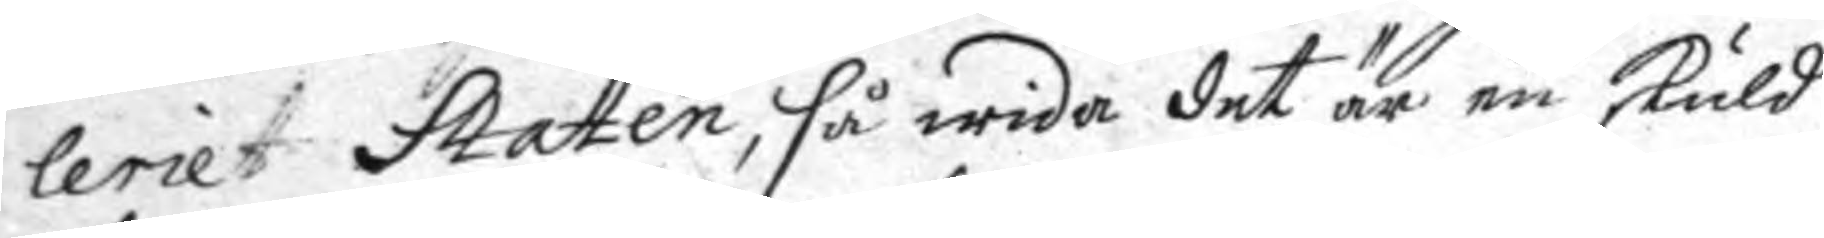leriet Staten, så wida det är en skuld
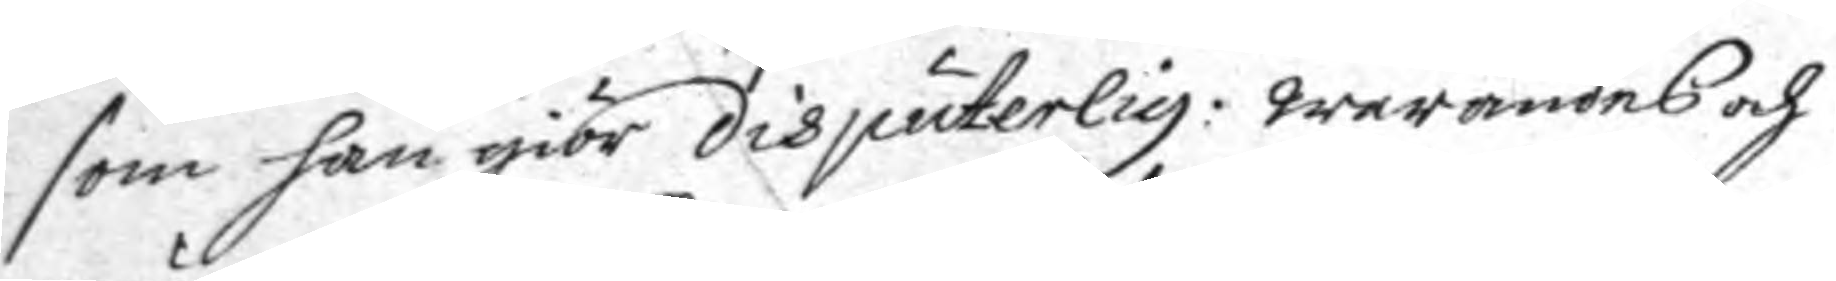som han giör disputerlig: warandes och
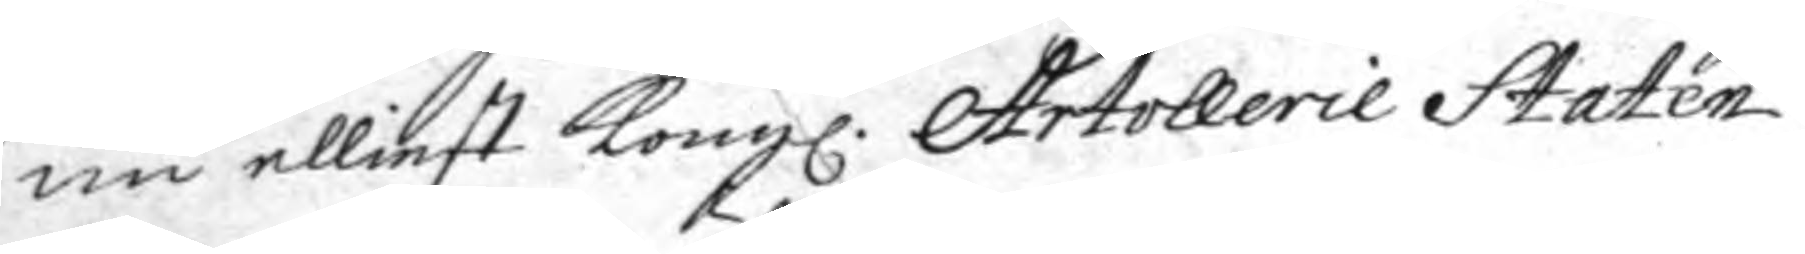nu elliest Kongl. Artollerie Staten
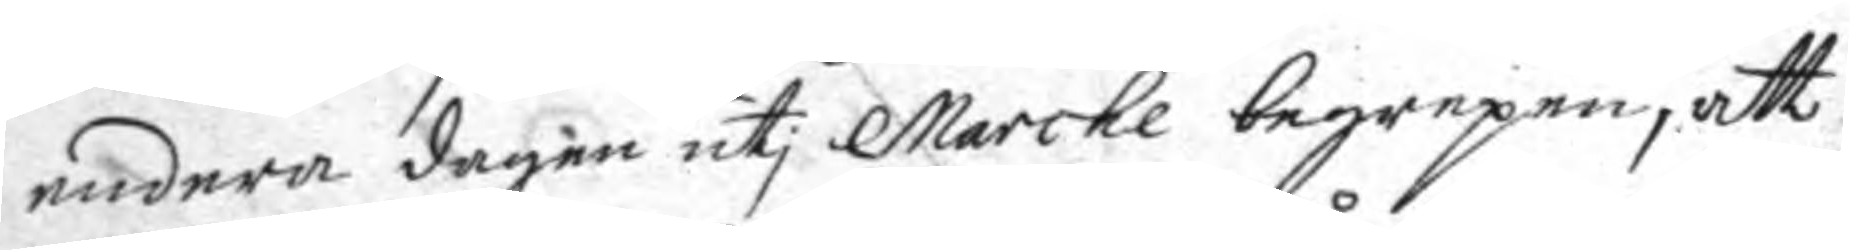endera dagen uti Marche begrepen, att
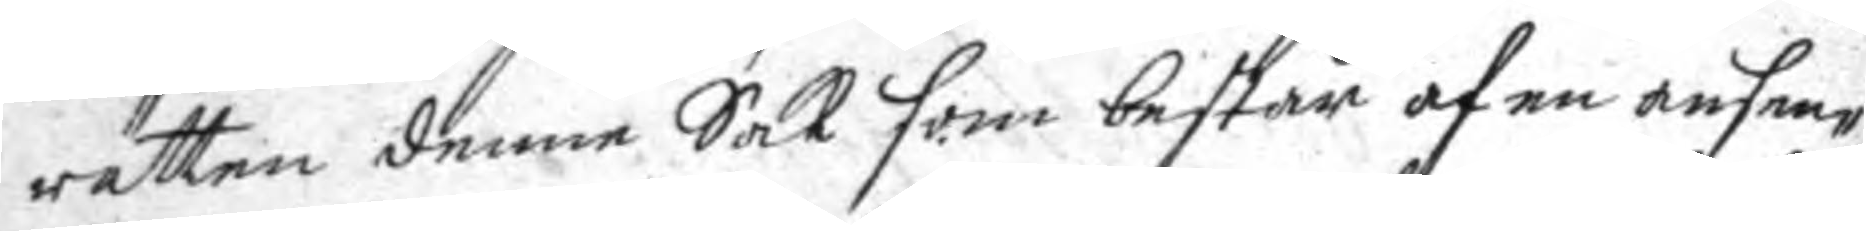rätten denne Sak som består af en ansen¬
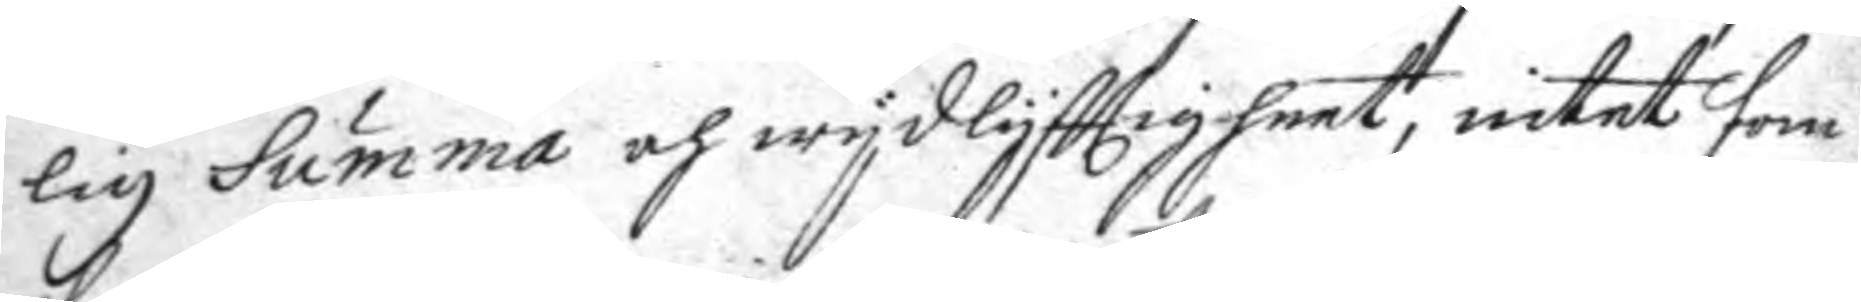lig Summa och wydlyfttigheet, intet som
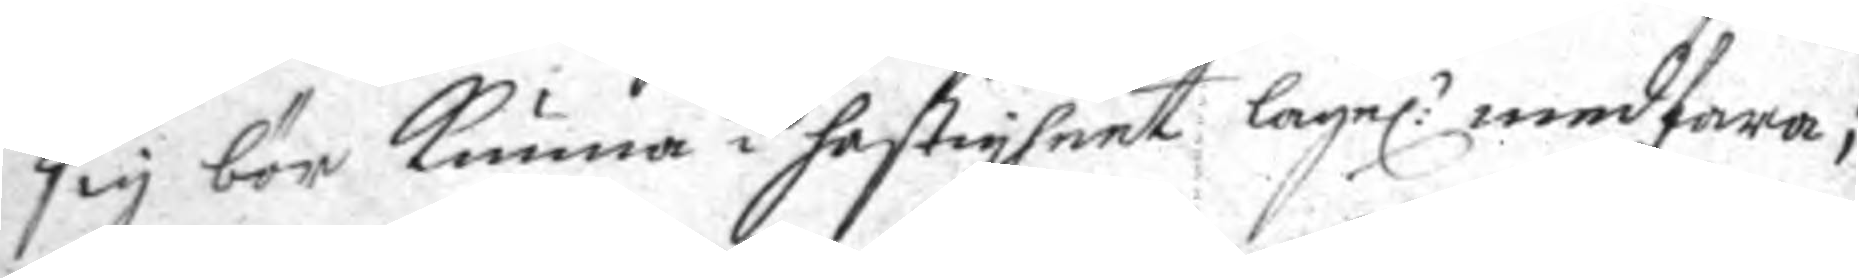sig bör kunna i hastigheet lagel:n medfara;
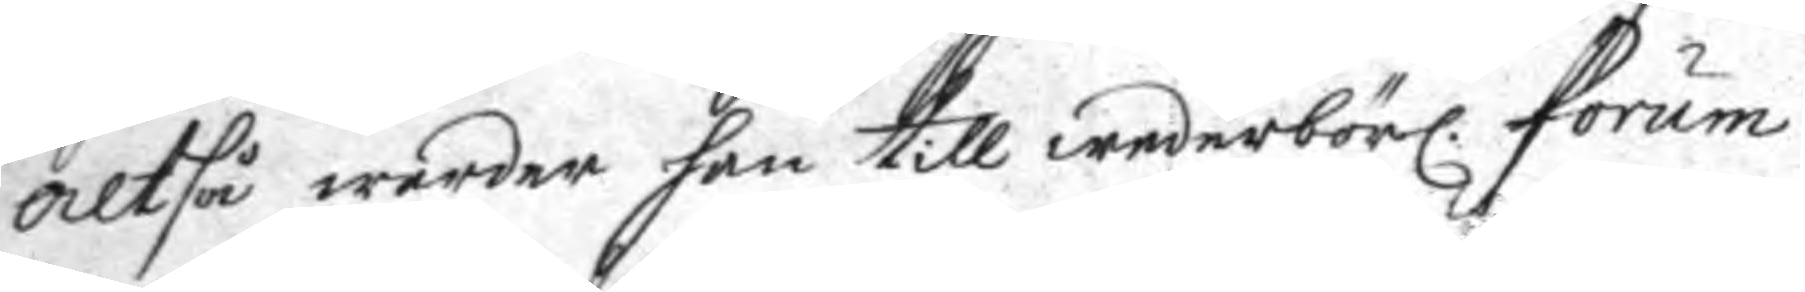altså warder han till wederbörl. forum
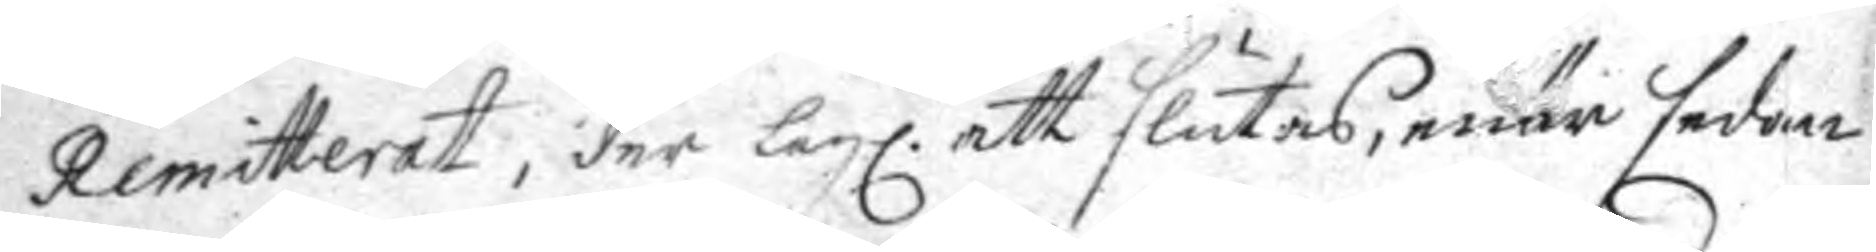Remitterat; der lagl. att slutas, enär sedan
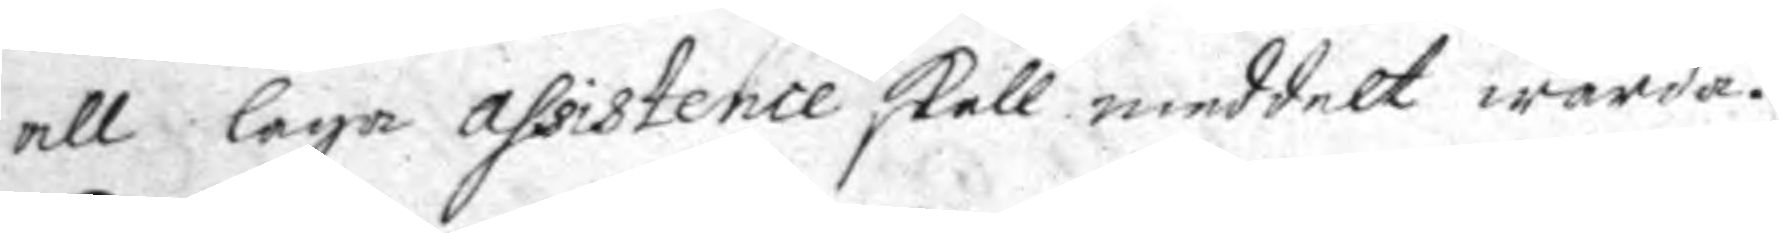all laga assistence skall meddelt warda.
